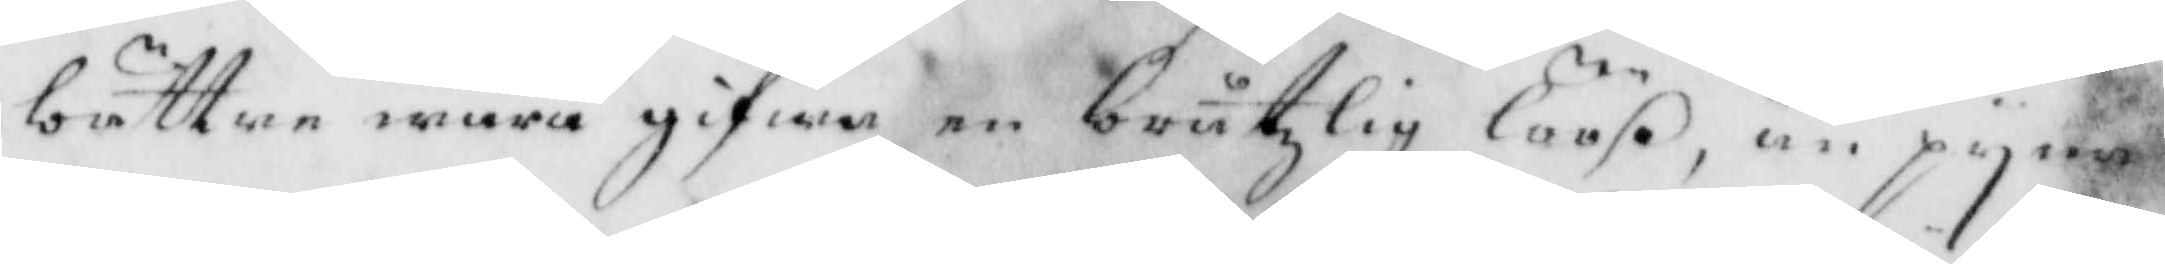bättre wara gifwa en bråtzlig löös, än pyna
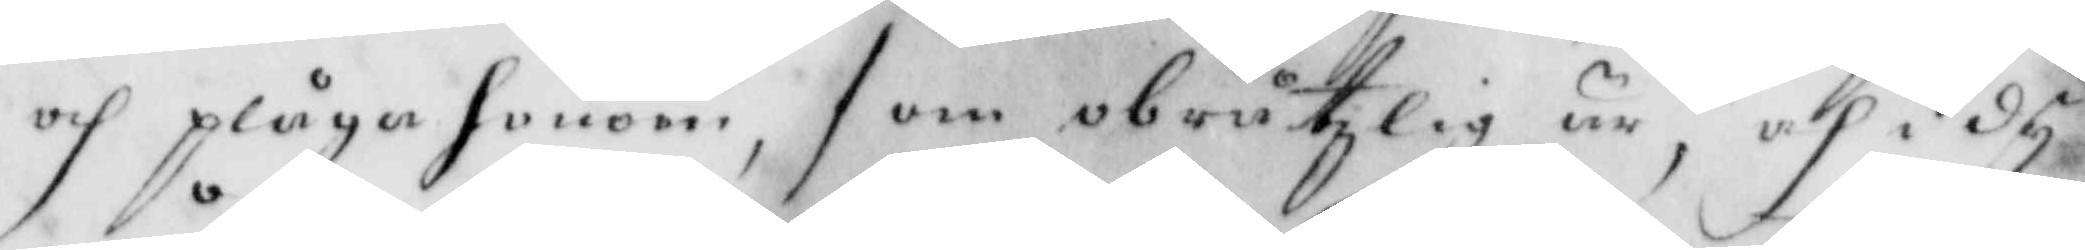och plåga honom, som obråtzlig är, och i dy
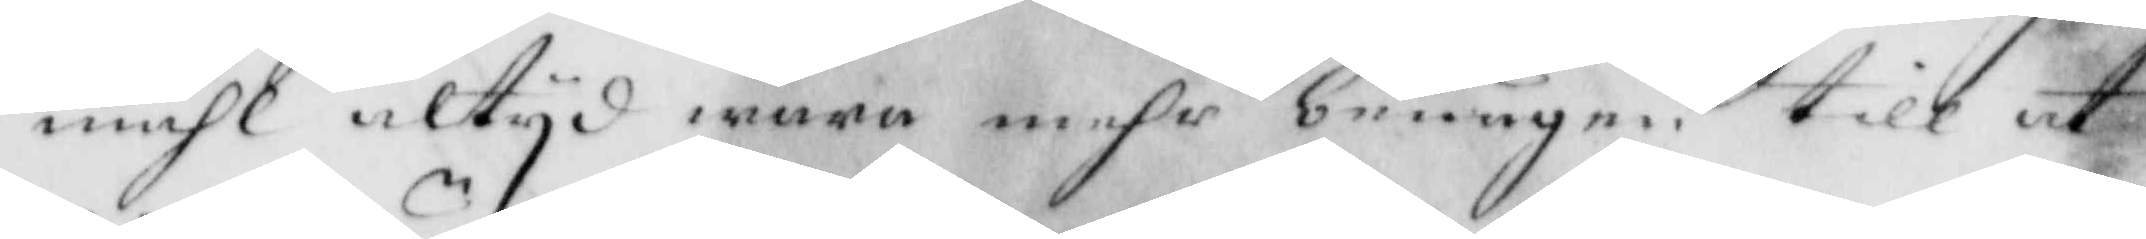måhl altyd wara mehr benägen, till at
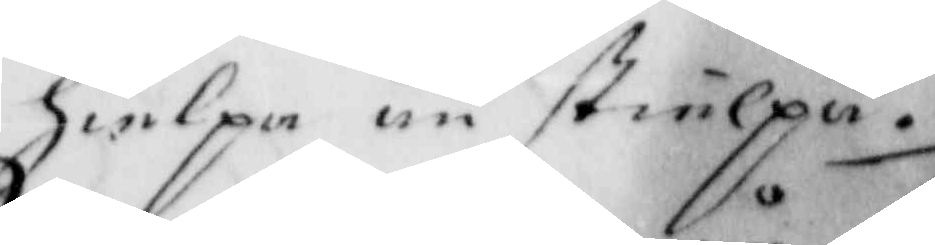hielpa än stielpa.
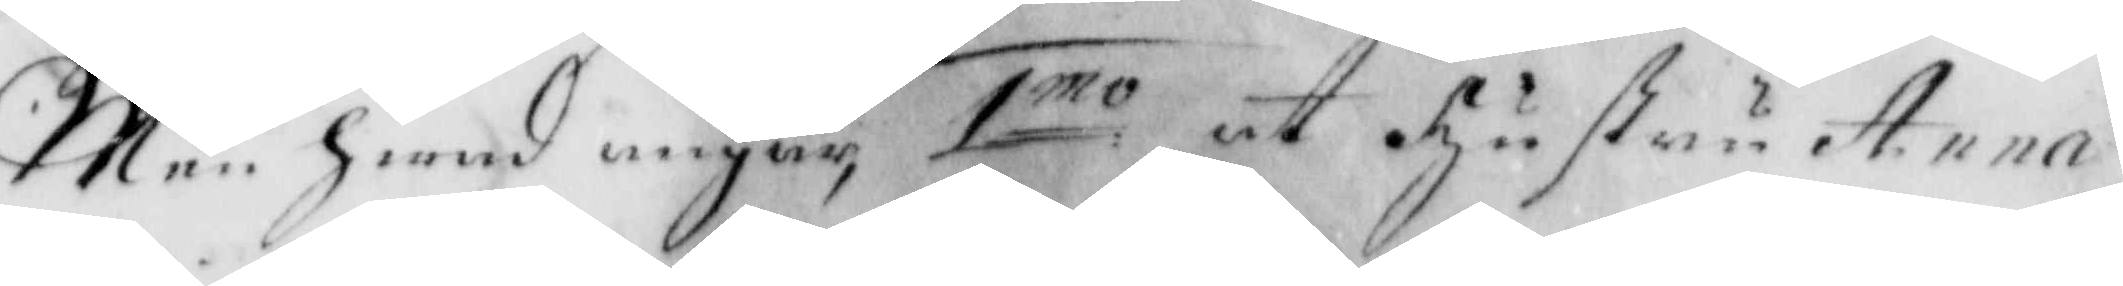Men hwad angår 1mo at hustru Anna
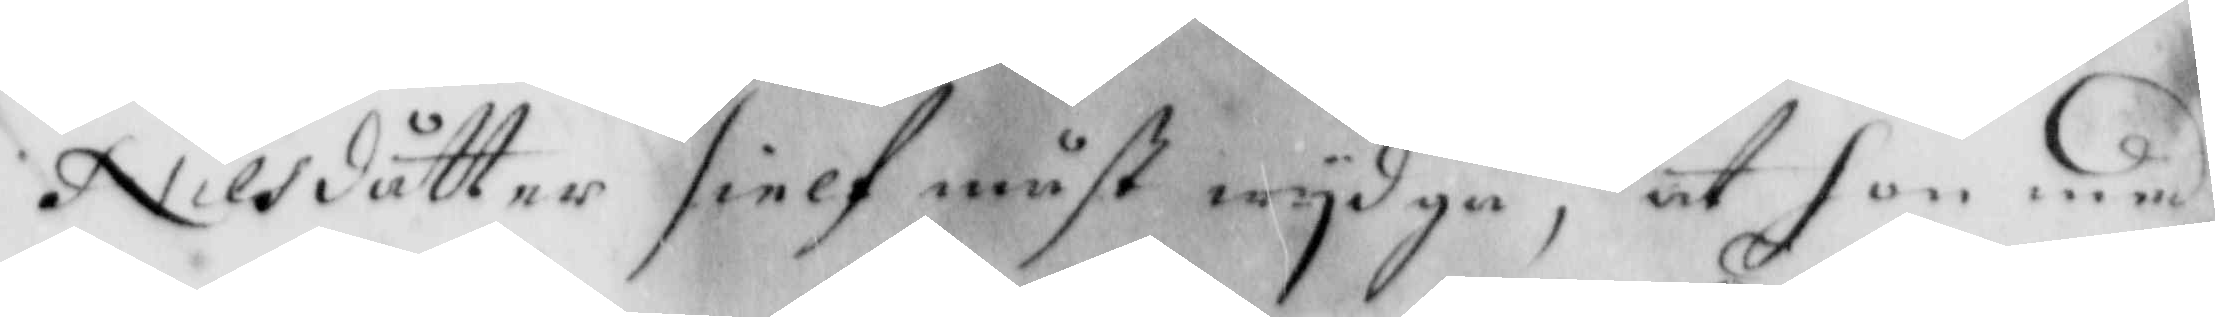Nilsdåtter sielf måst wydgå, at hon med
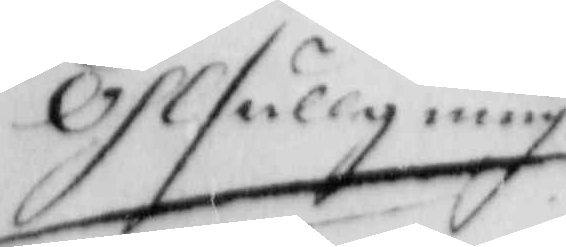Öhlfullgning
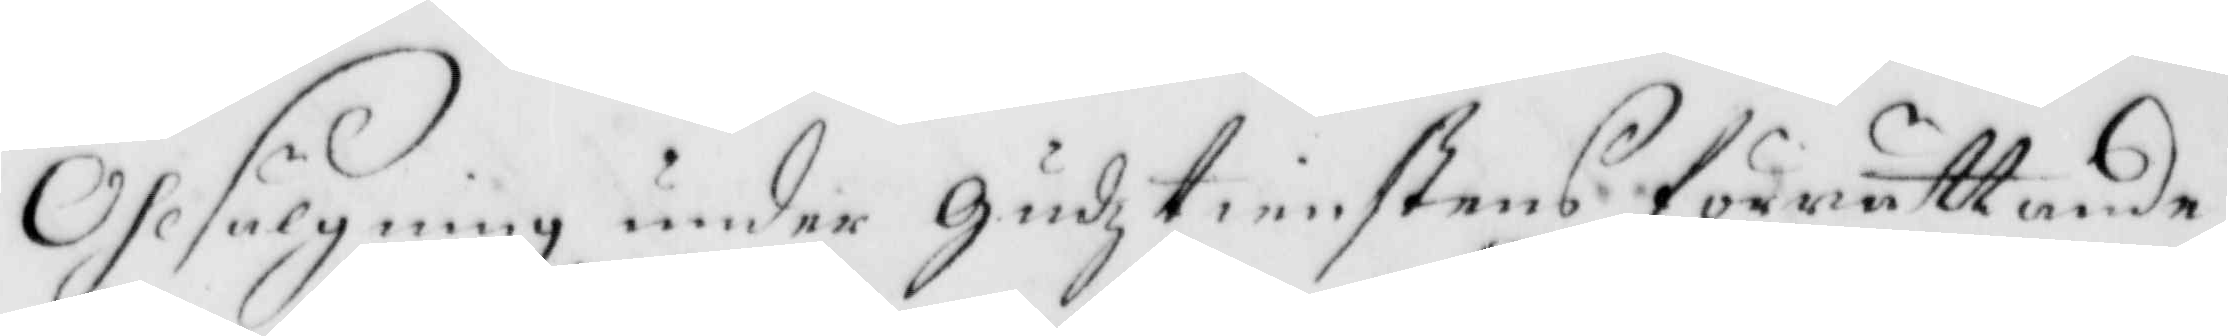Olsälgning under Gudztienstens förrättande
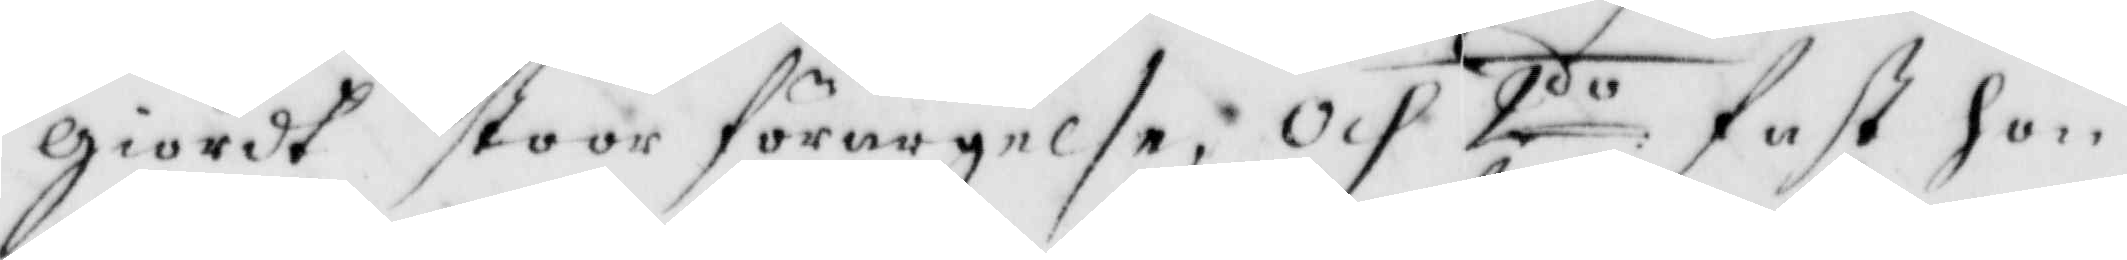giordt stoor förargelse; Och 2do fast hon
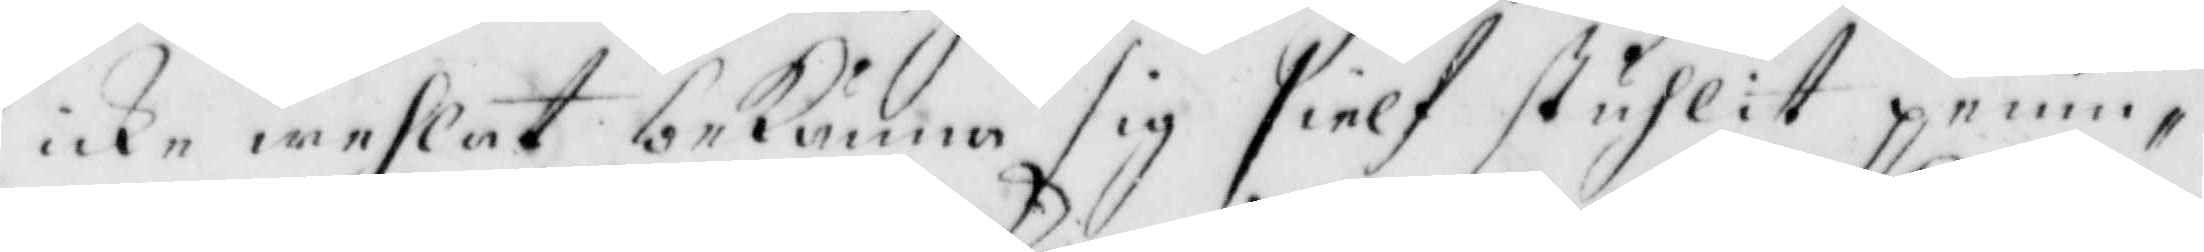icke wehlat bekänna sig sielf stuhlit penin¬
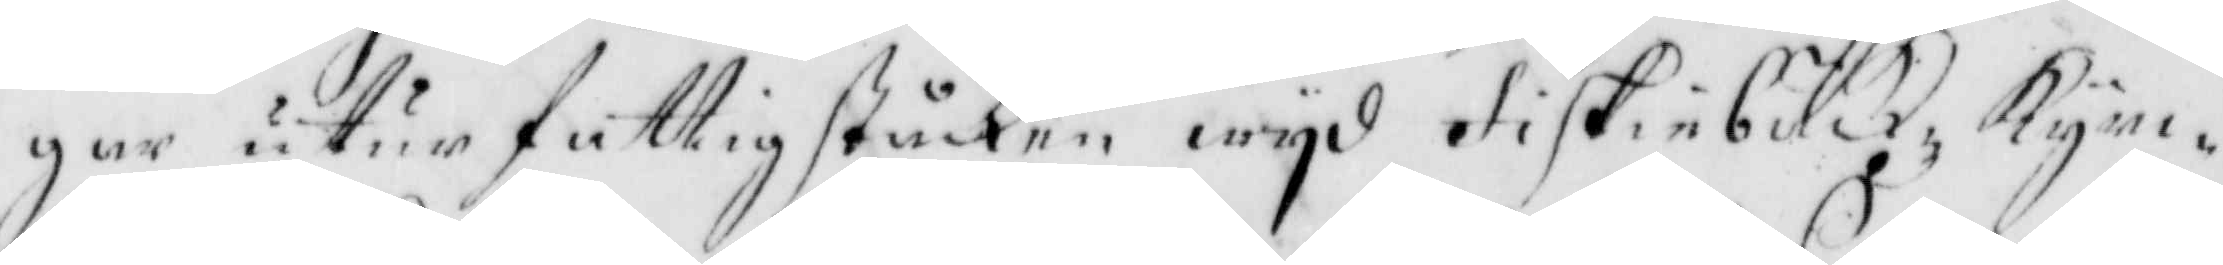gar utur fattig ståcken wyd fiskiebäckz, kyr¬
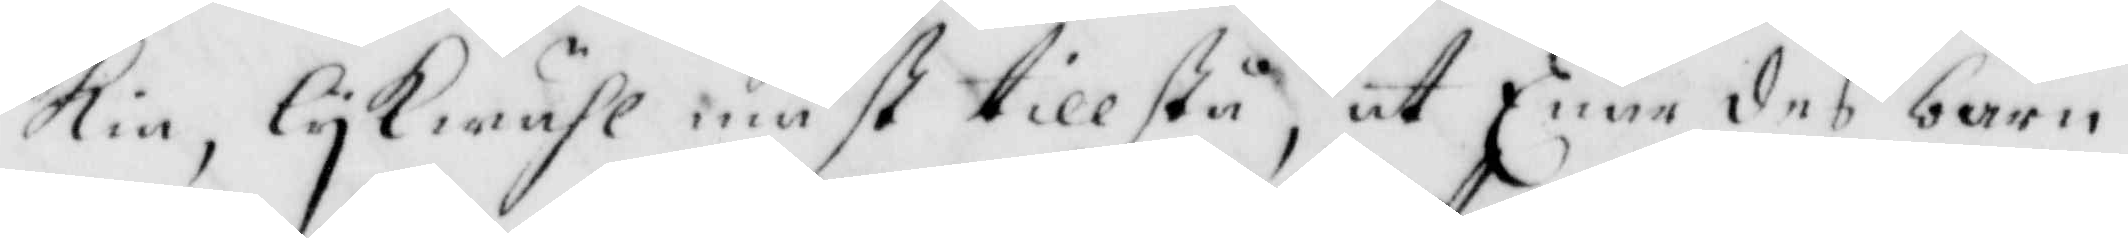Kie, lykwähl måst tillstå, at Enär des barn
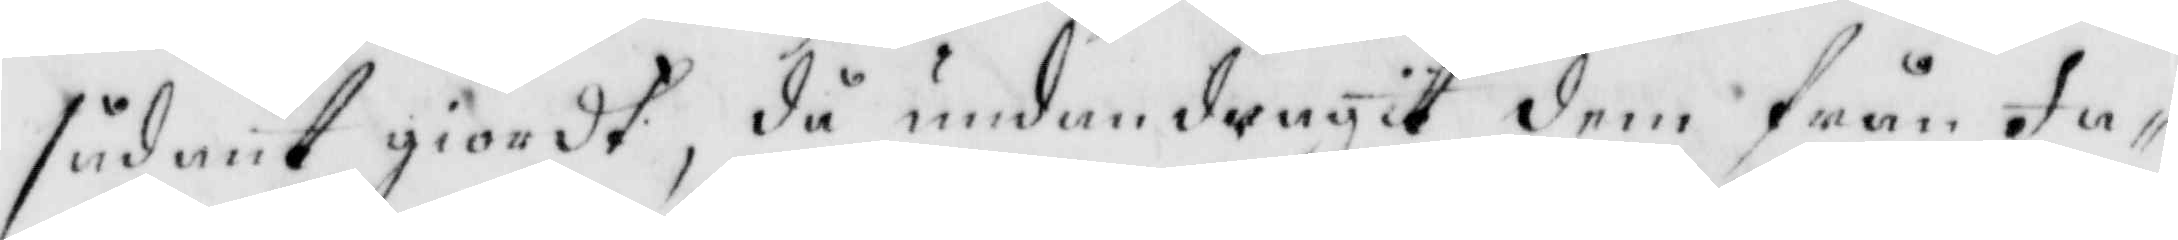sådant giordt, då undandragit dem från Fa¬
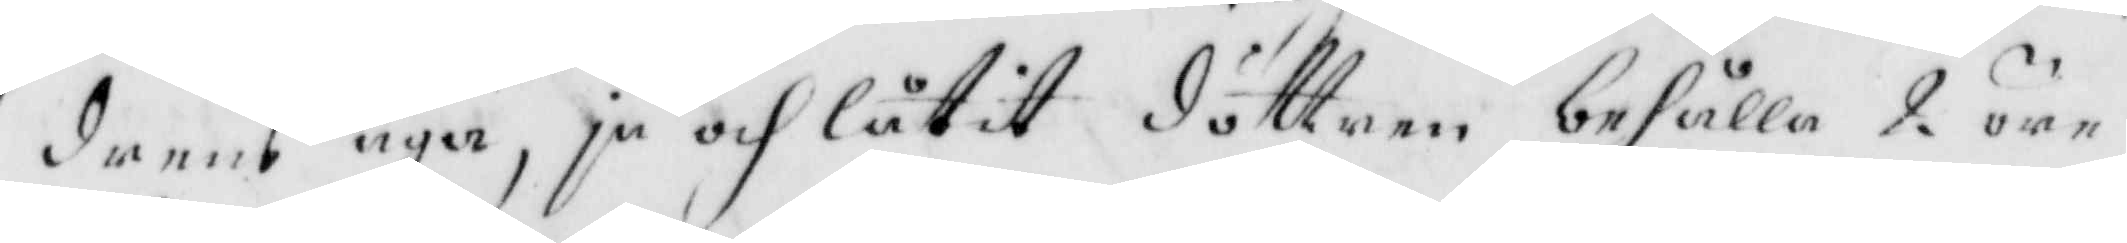drens aga, ja och låtit döttren behålla 2 öre
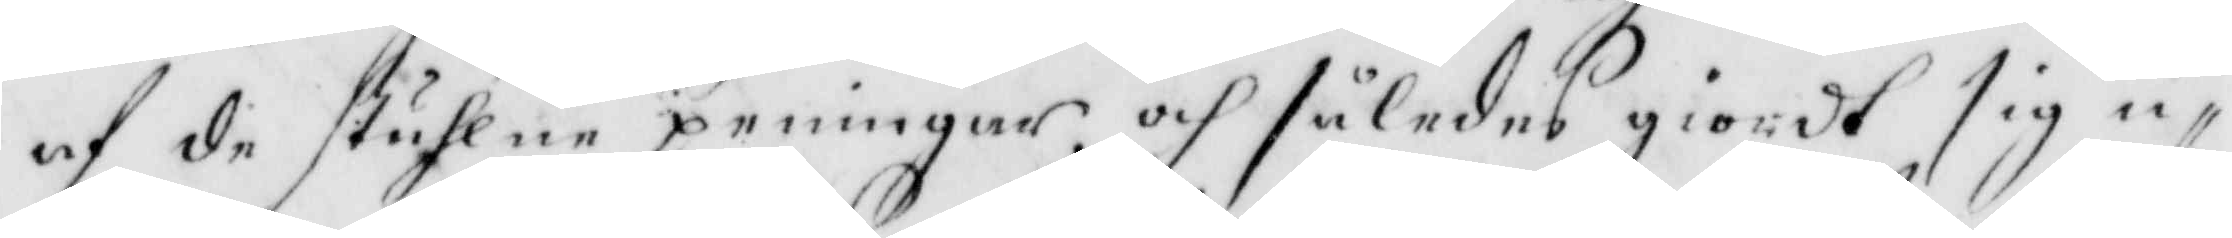af de stuhlne penningar och således giordt sig ic¬
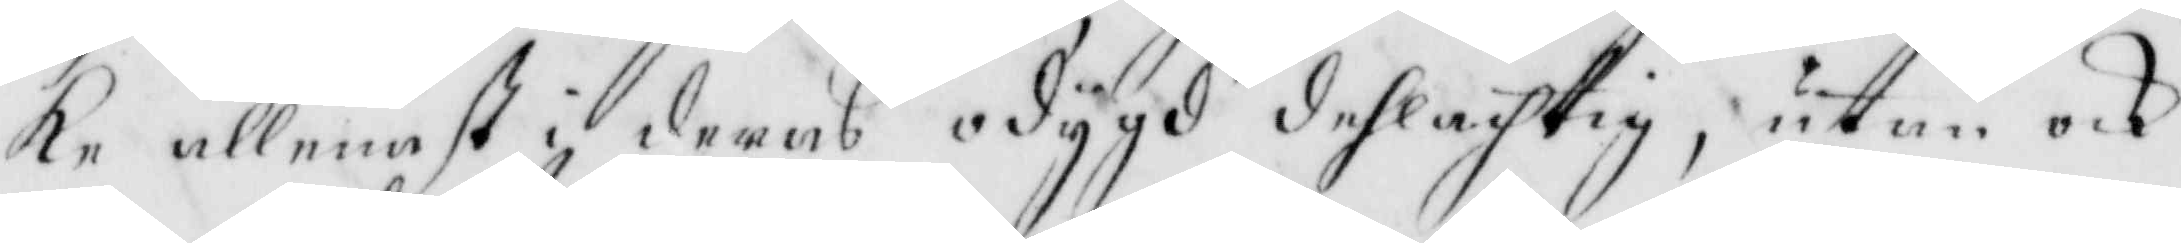ke allenast i deras odygd delachtig, utan och
